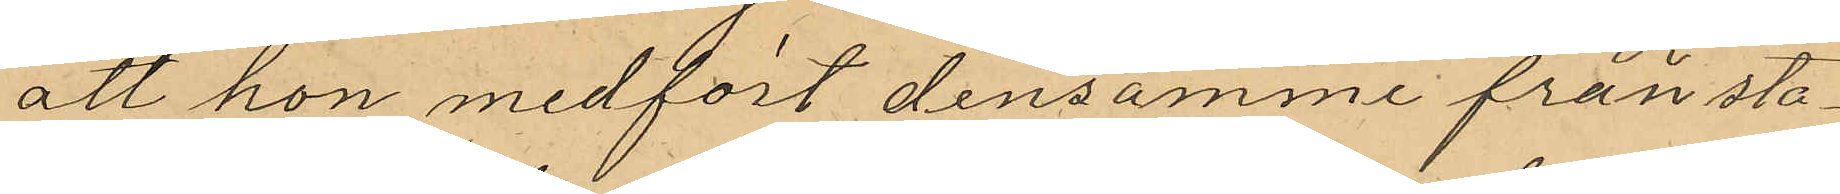att hon medfört densamme från sta¬
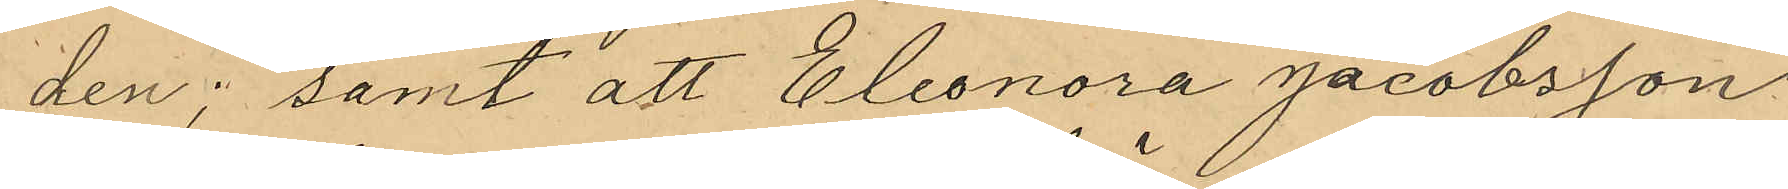den; samt att Eleonora Jacobsson
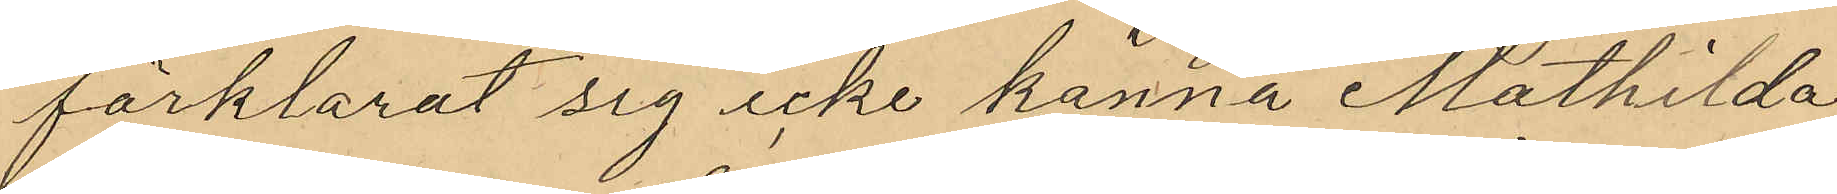förklarat sig icke känna Mathilda
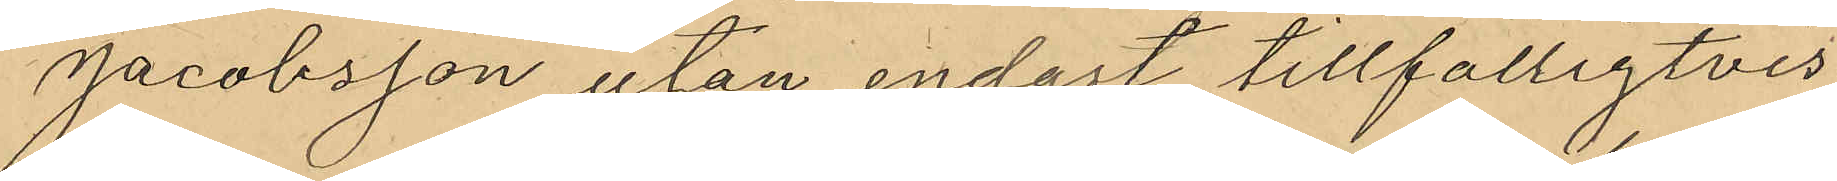Jacobsson utan endast tillfälligtvis
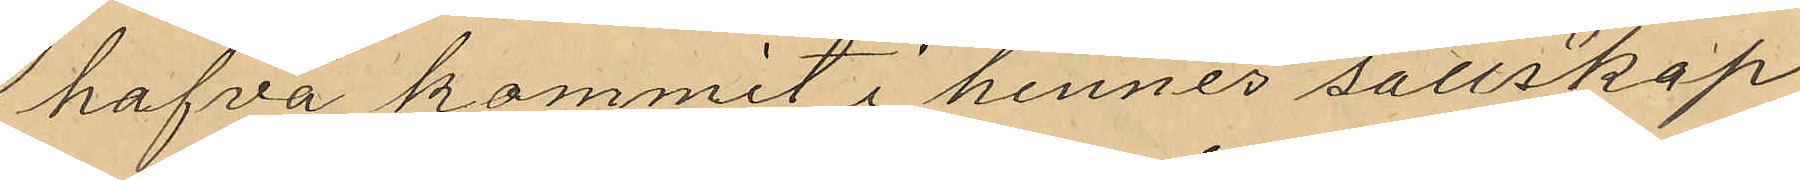hafva kommit i hennes sällskap
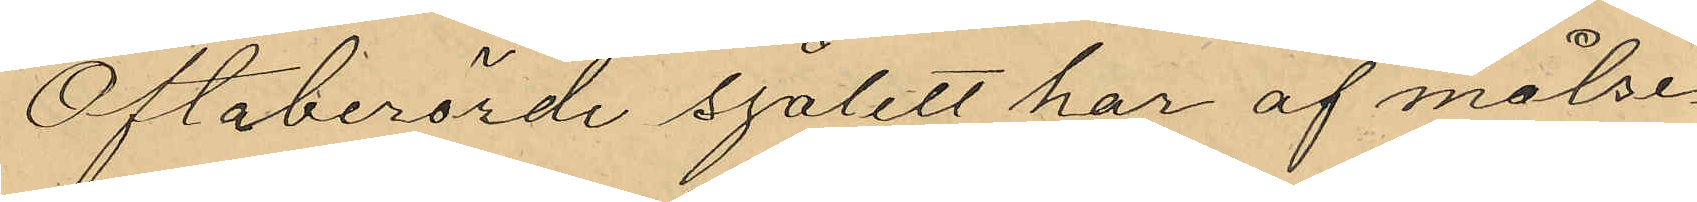Oftaberörde sjålett har af målse¬
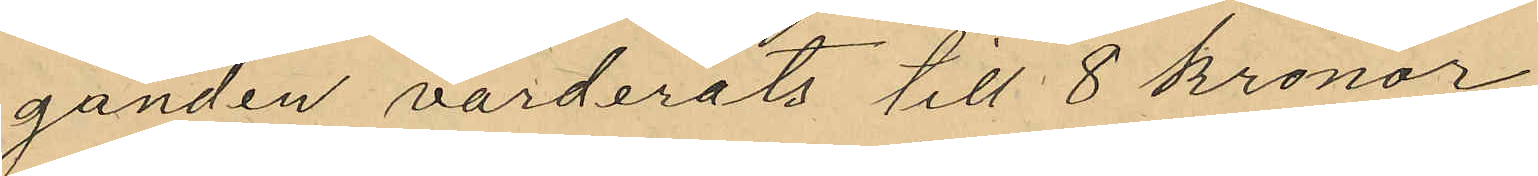ganden värderats till 8 kronor
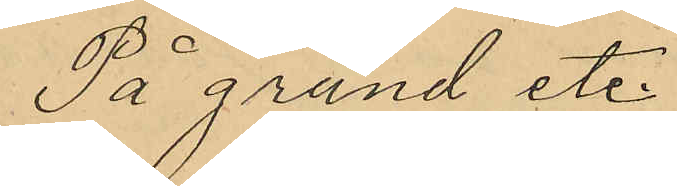På grund et.
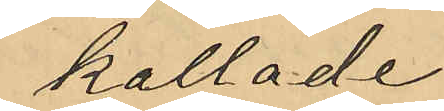kallade
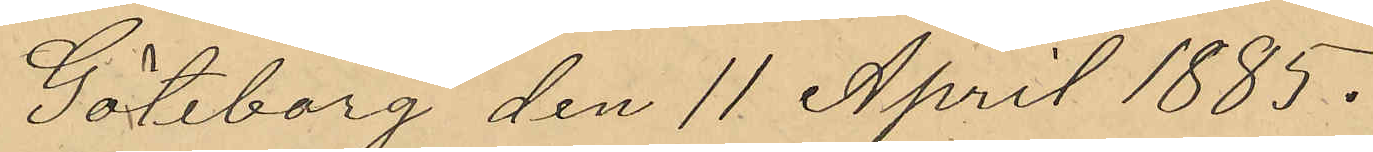Göteborg den 11 April 1885.
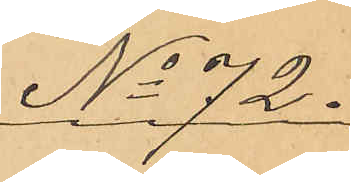No 72.
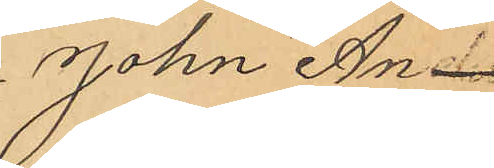John An¬
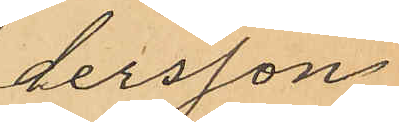dersson
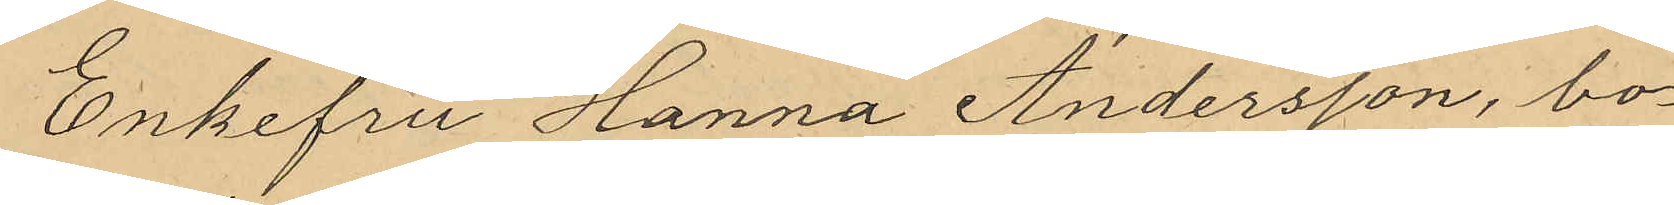Enkefru Hanna Andersson, bo¬
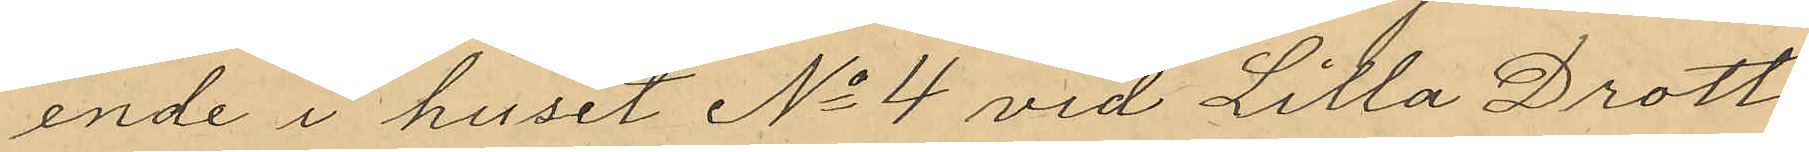ende i huset No 4 vid Lilla Drott¬
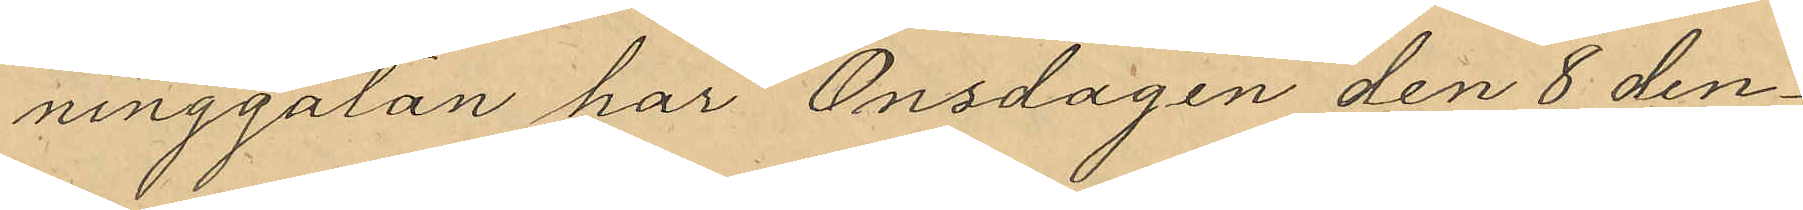ninggatan har Onsdagen den 8 den¬
